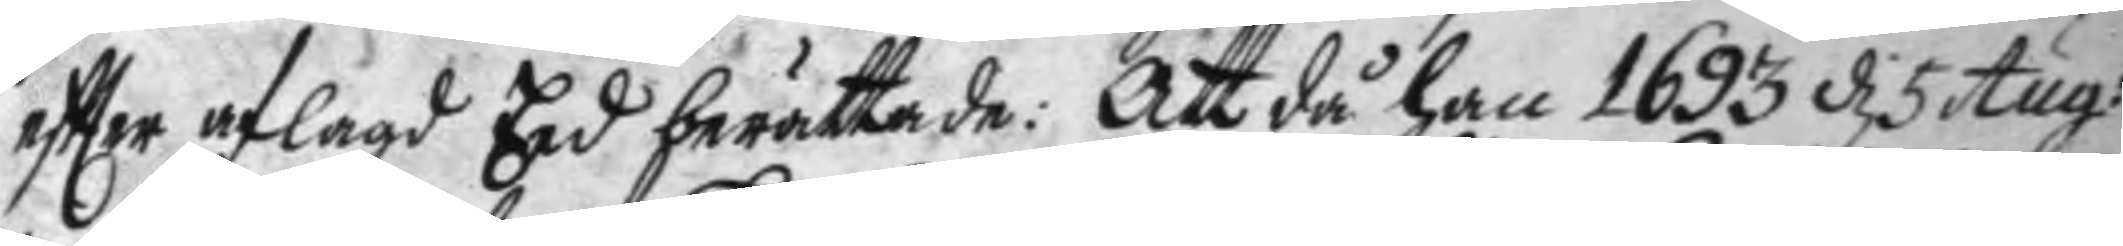eftter aflagd Eed berättade: Att då han 1693 d 5 Aug:
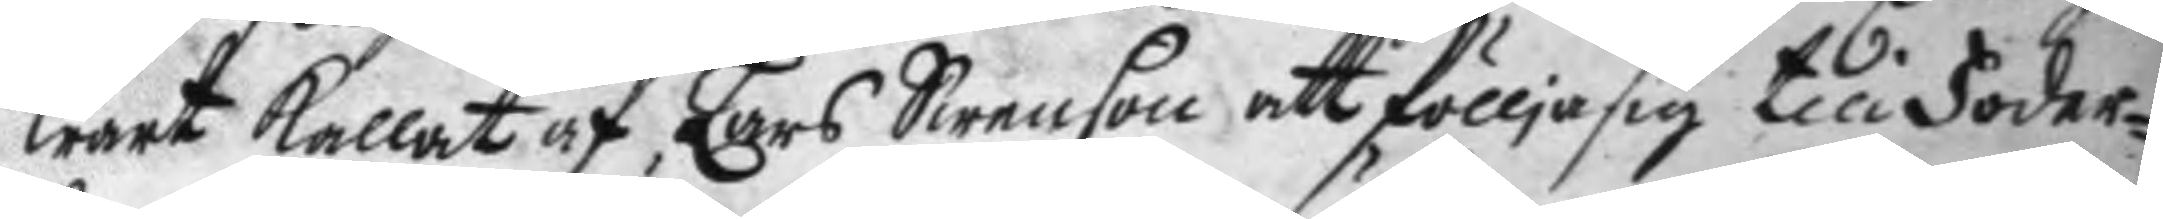wart kallat af Lars Swenson att föllja sig till Foder¬
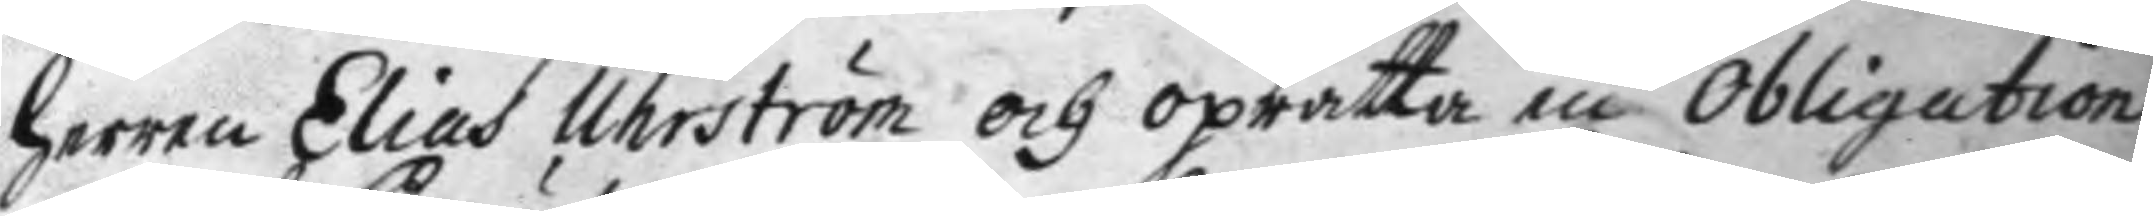herren Elias Uhrström och oprätta en obligation
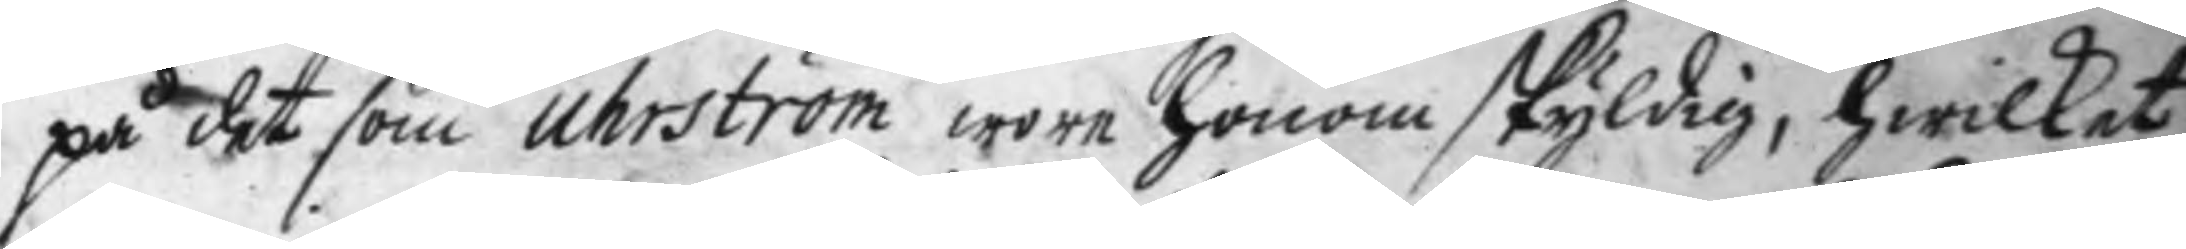på det som Uhrström wore honom skyldig, hwilket
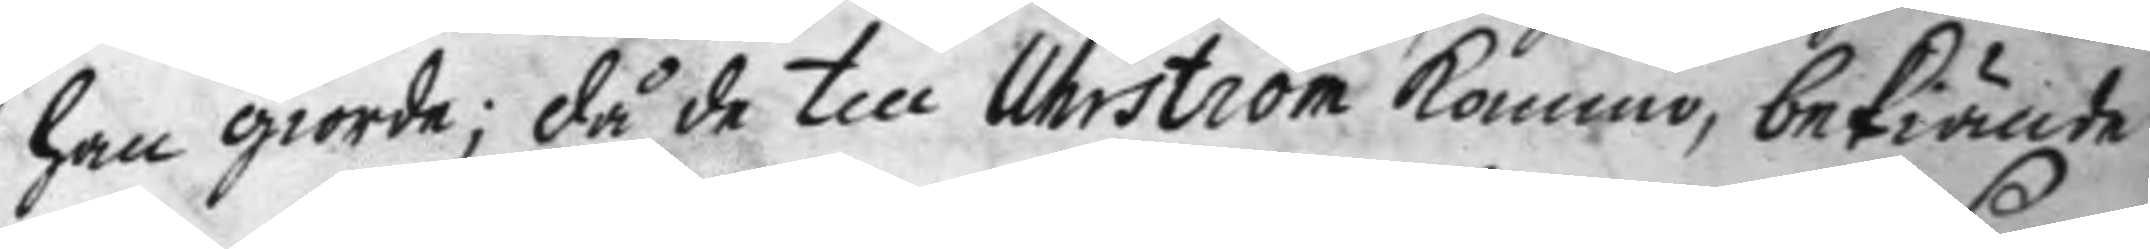han giorde; då de till Uhrström kommo, bekiände
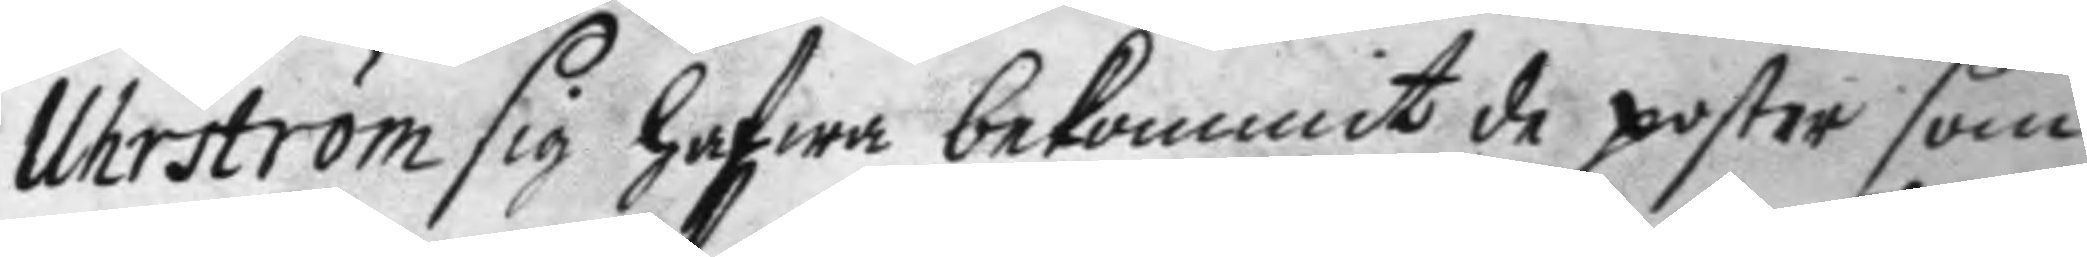Uhrström sig hafwa bekommit de poster som
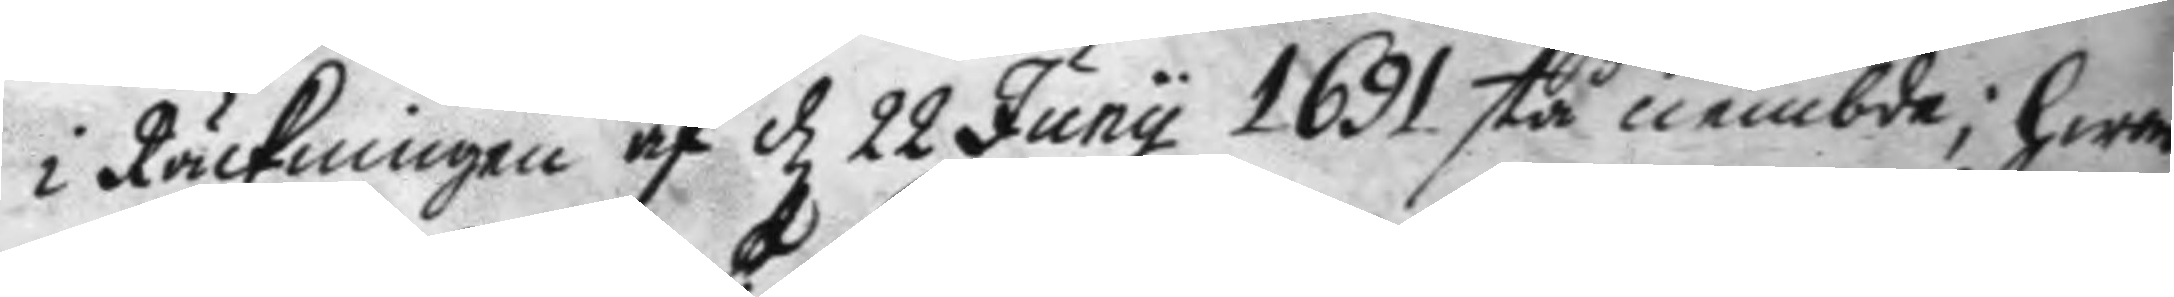i Räckningen af d 22 Juny 1691 stå nembde; hwar
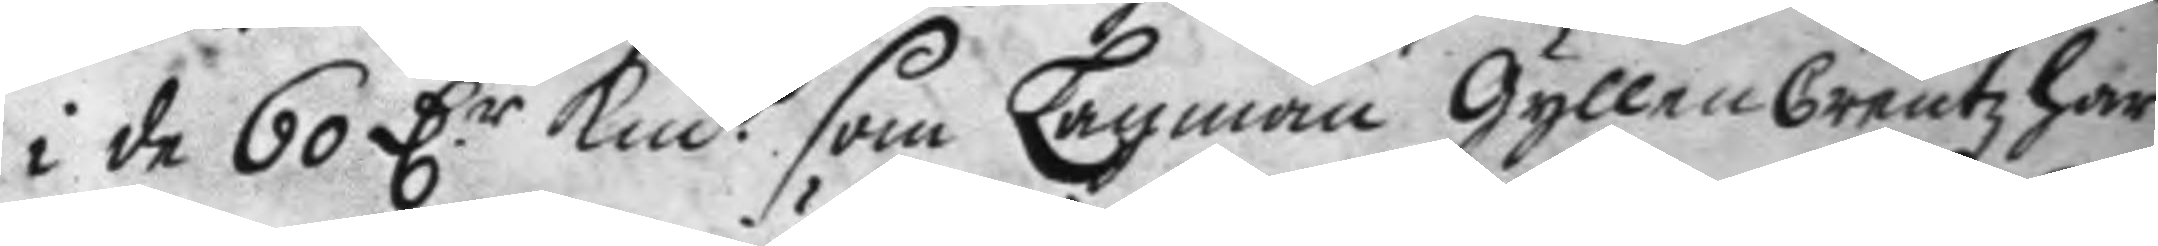i de 60 D.r kmt som Lagman GyllenCreutz har
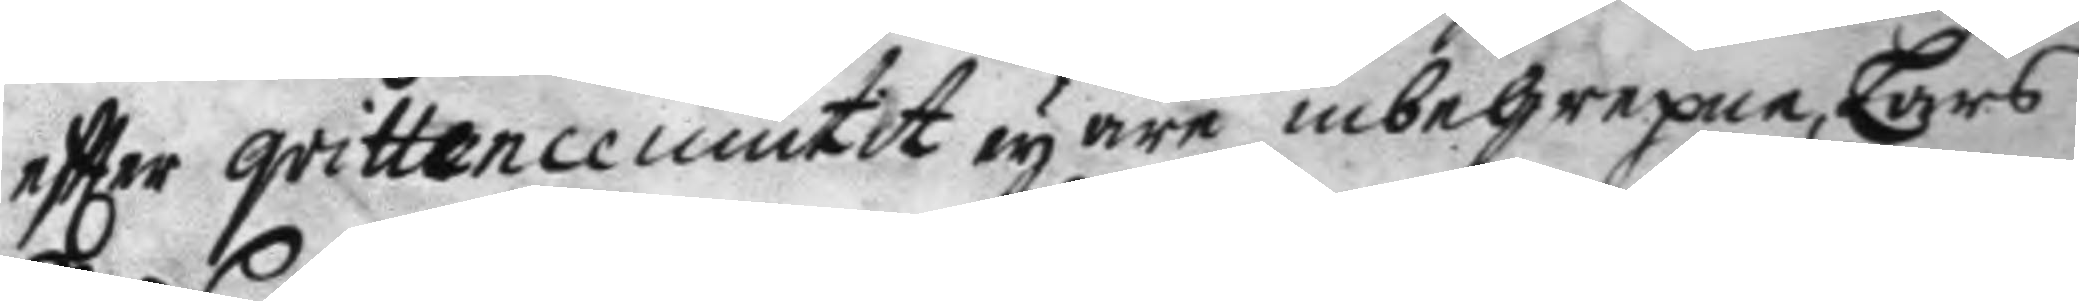eftter qvittence niutit ey äre inbegrepne, Lars
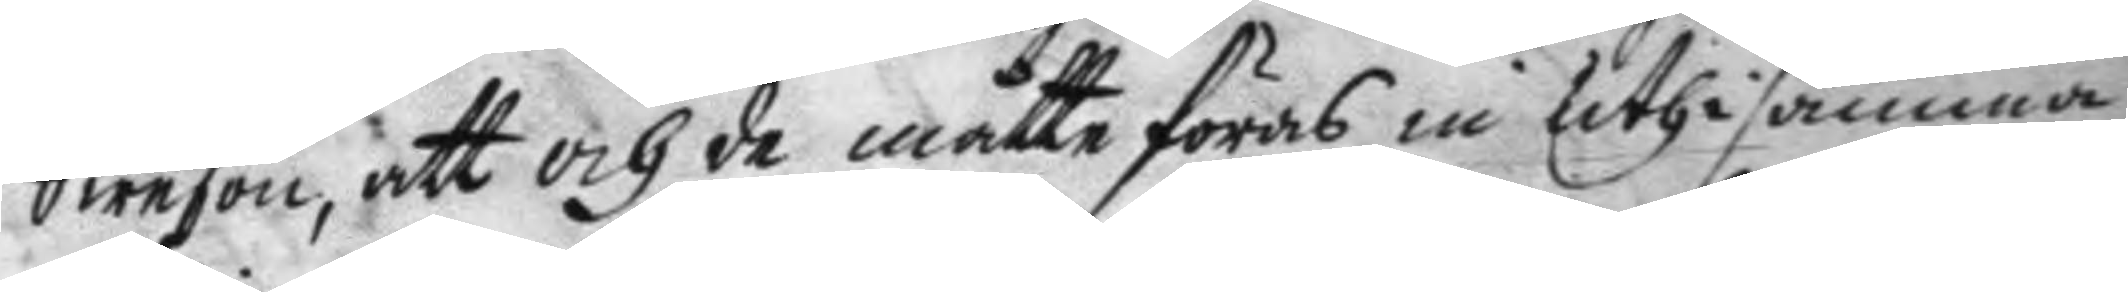Swenson, att och de måtte föras in uthi samma
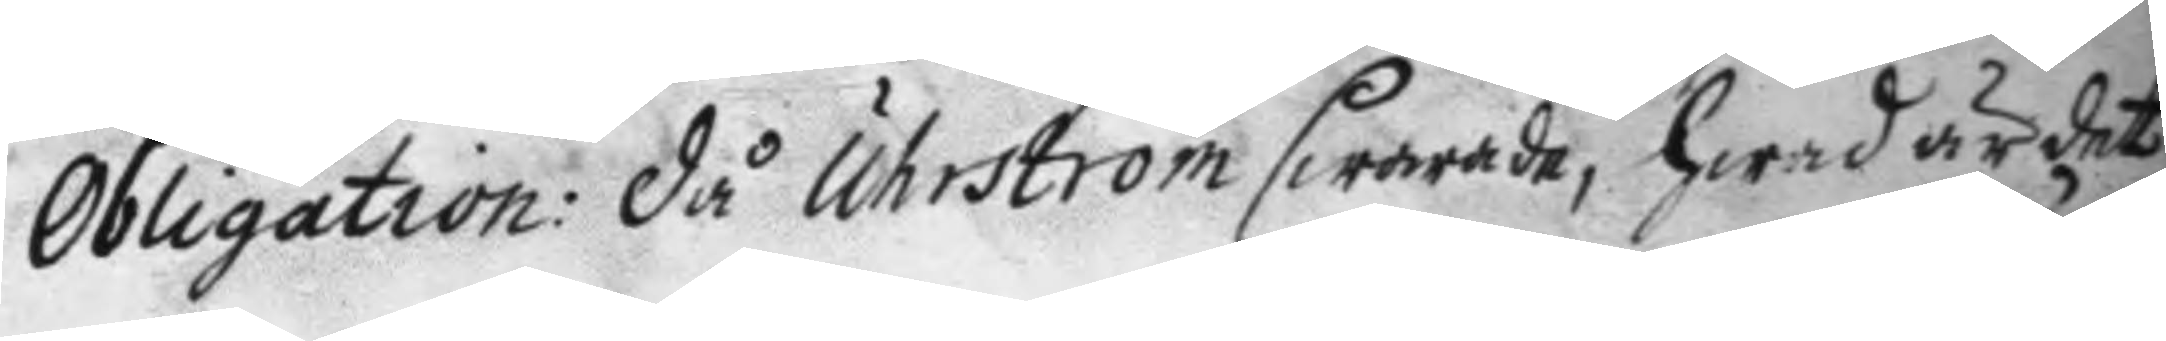Obligation: då Uhrström swarade, hwad är det
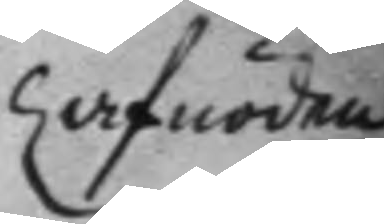af nöden
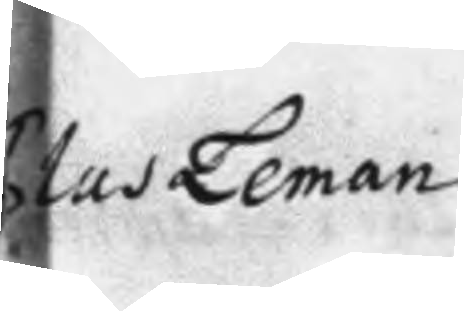Clas Leman
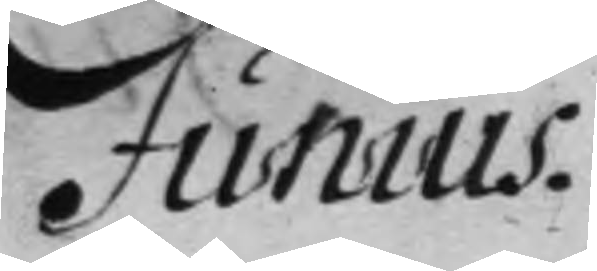Junius
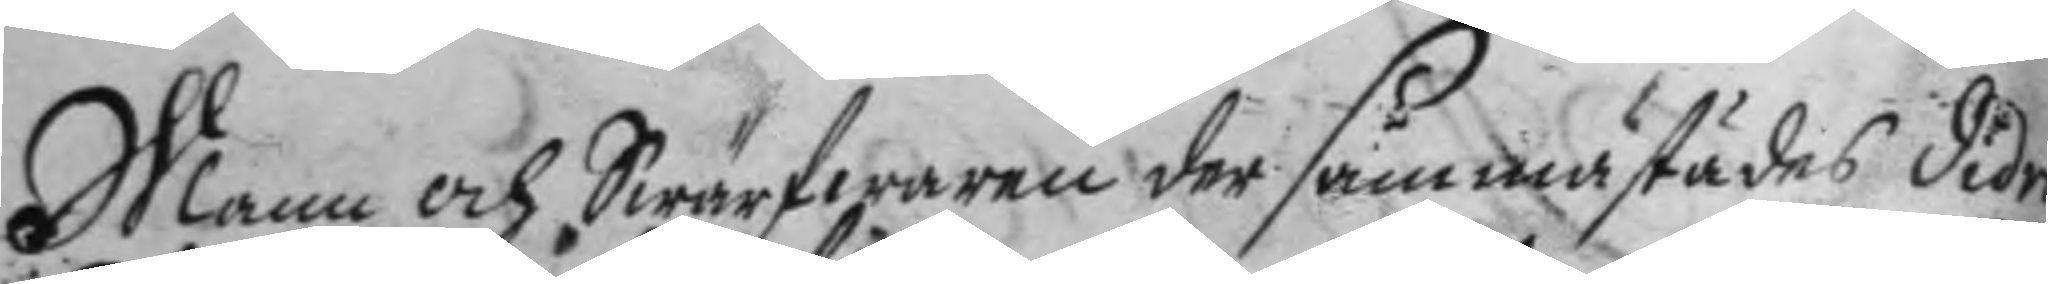Mann och Swärfwaren der sammastädes didri
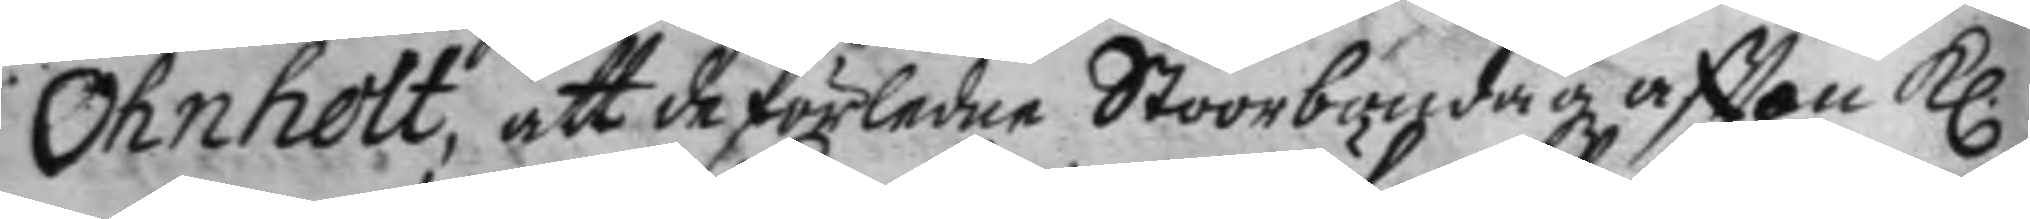Ohnholt, att de förledne Stoornöndag aftton kl.
